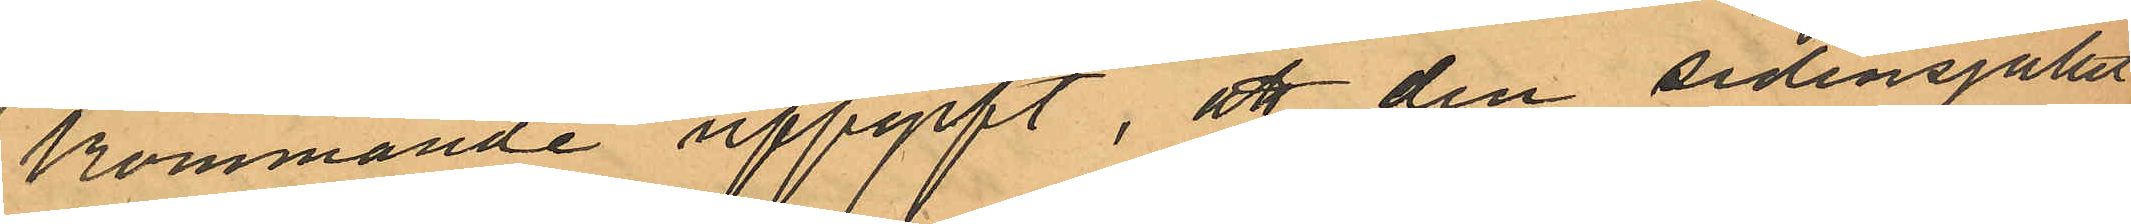kommande uppgift, att den sidensjalett
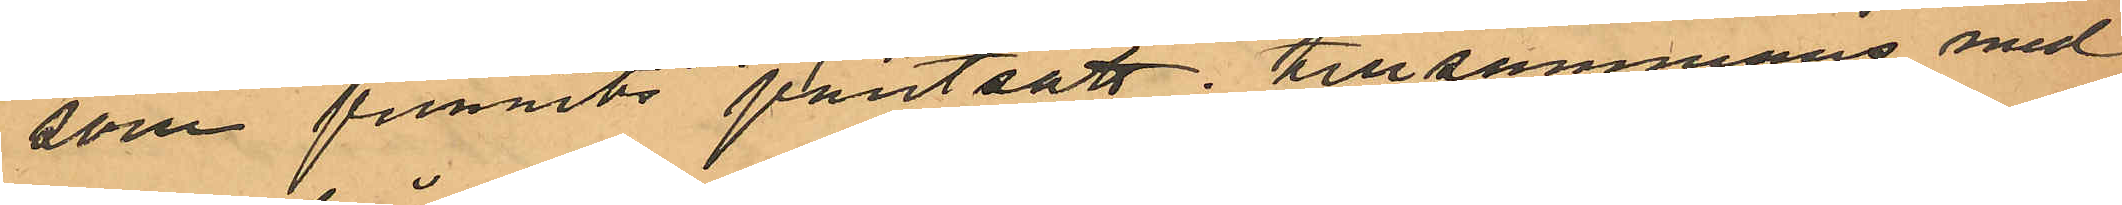som funnits pantsatt tillsammans med
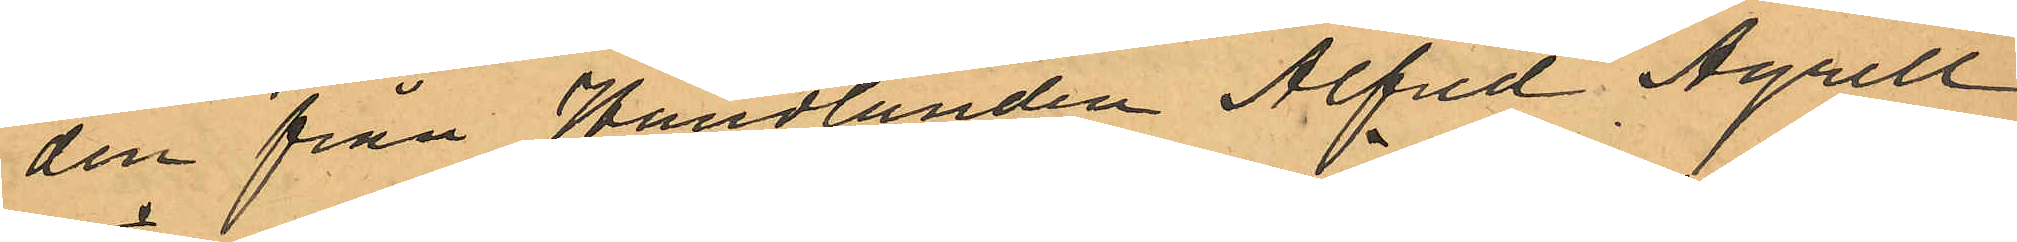den från Handlanden Alfred Agrell
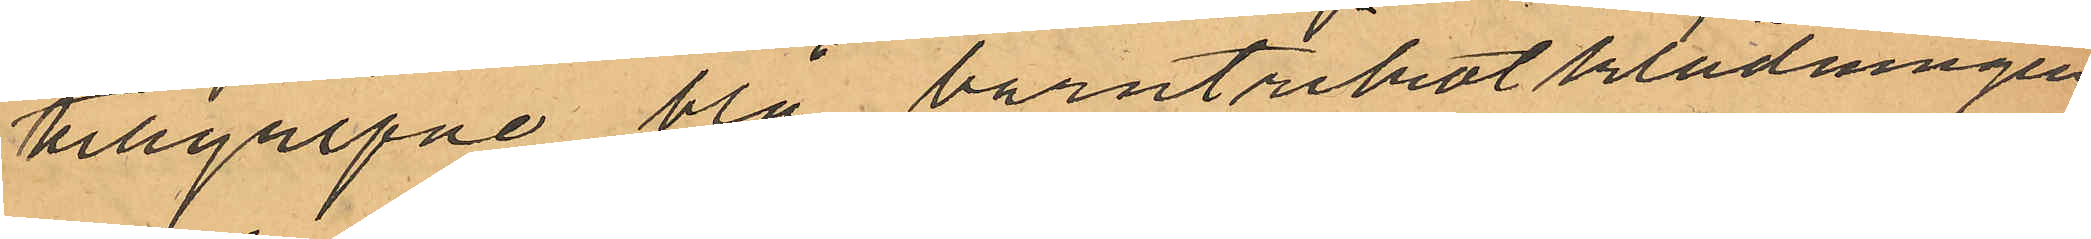tillgripne blå barntrikotklädningen
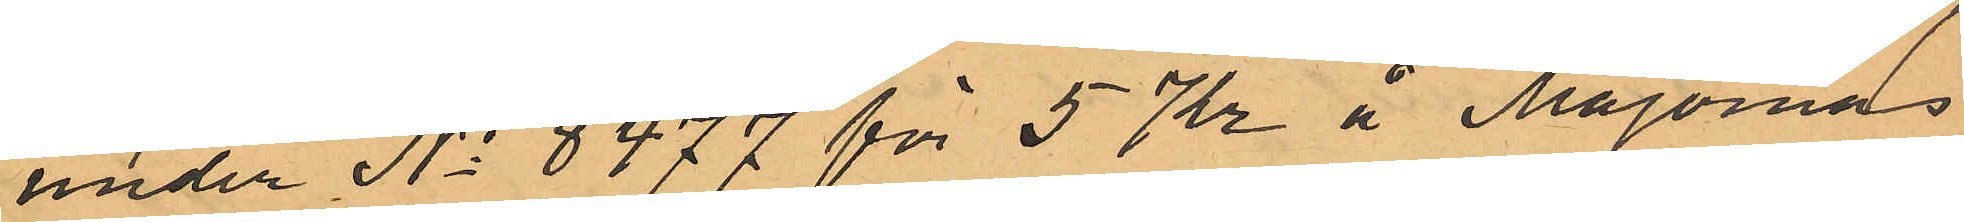under No 8477 för 5 Kr å Majornas
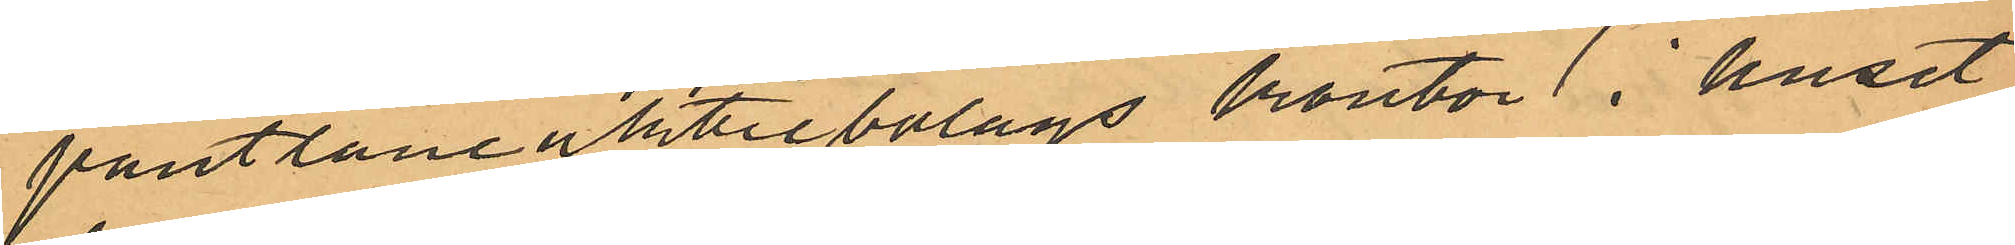pantlåneaktiebolags kontor i huset
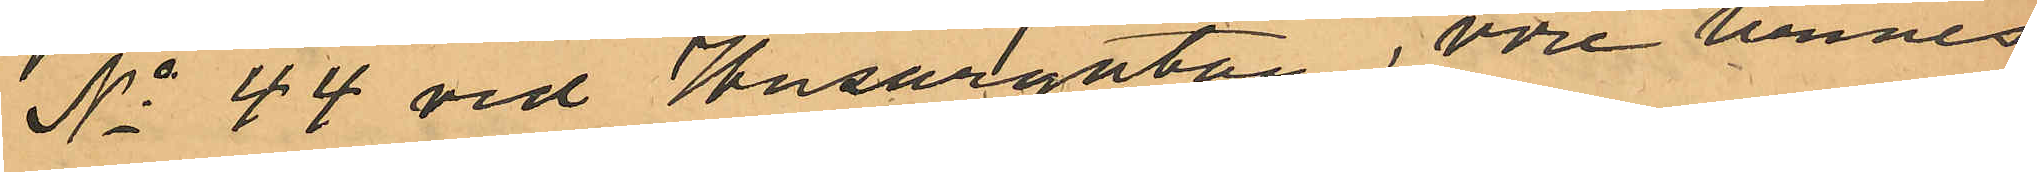No 44 vid Husargatan, vore hennes
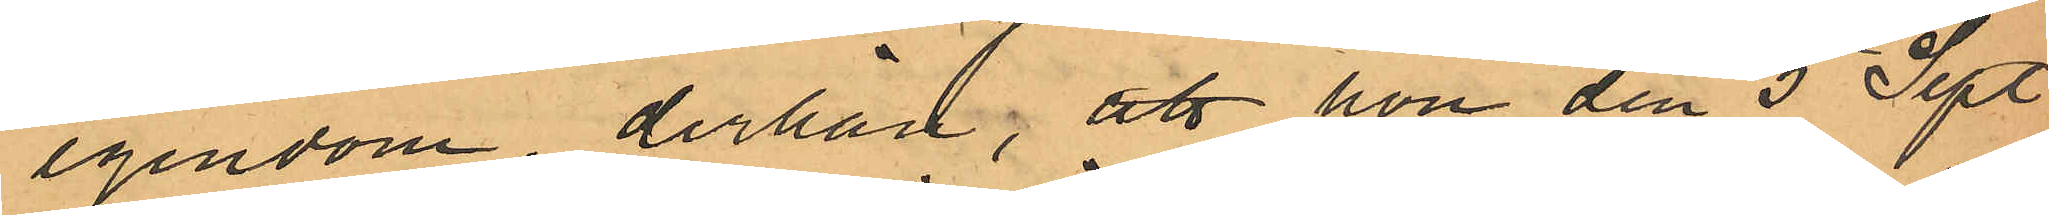egendom, derhän; att hon den 5 Sept.
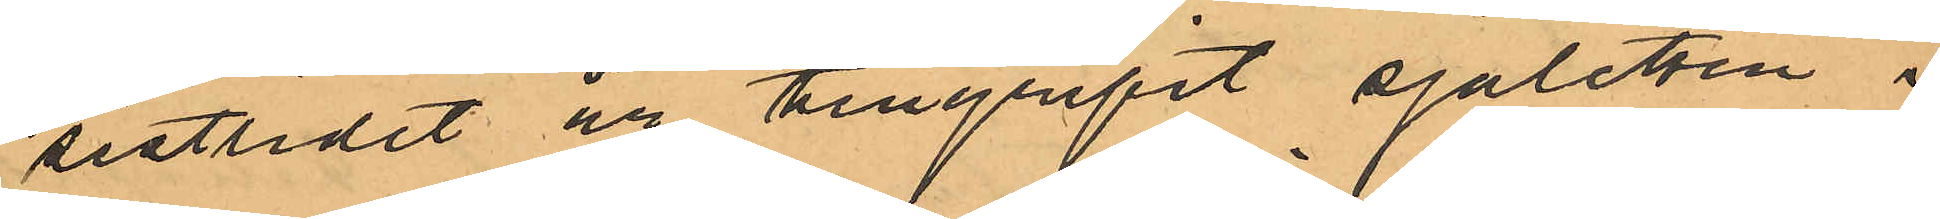sistlidet år tillgripit sjaletten i
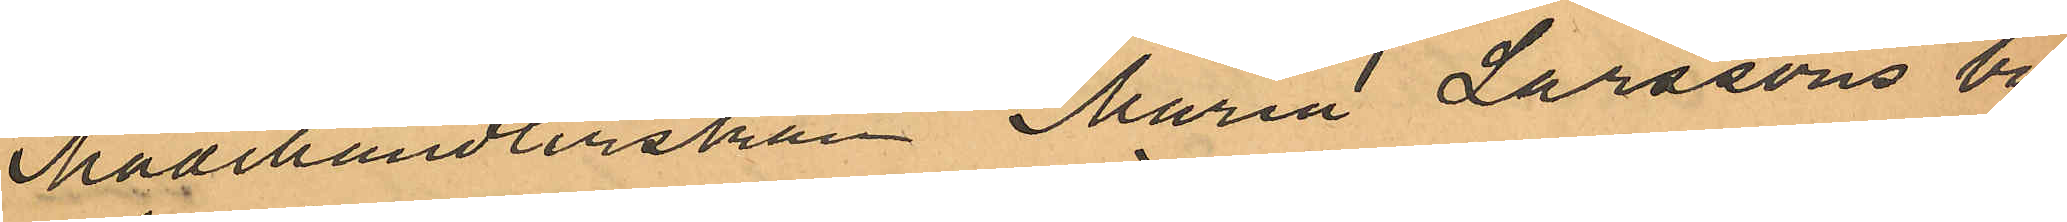Modehandlerskan Maria Larssons bu¬
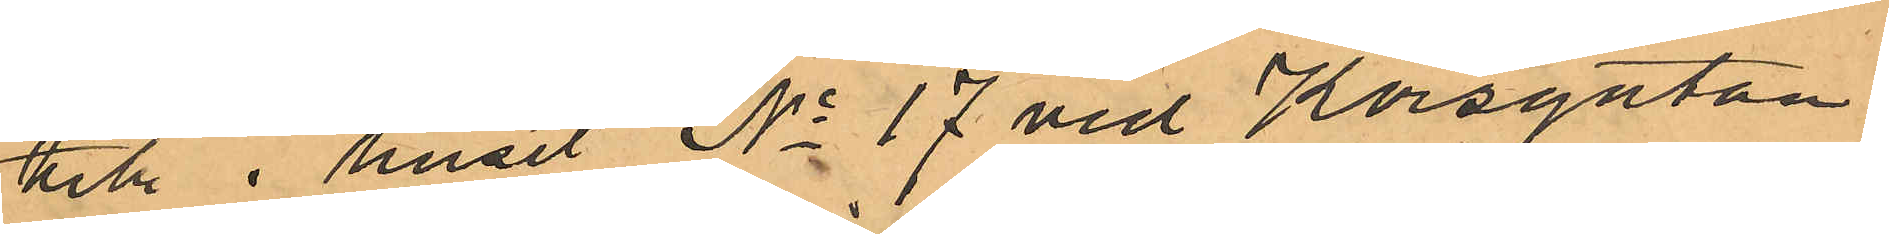till i huset No 17 vid Korsgatan.
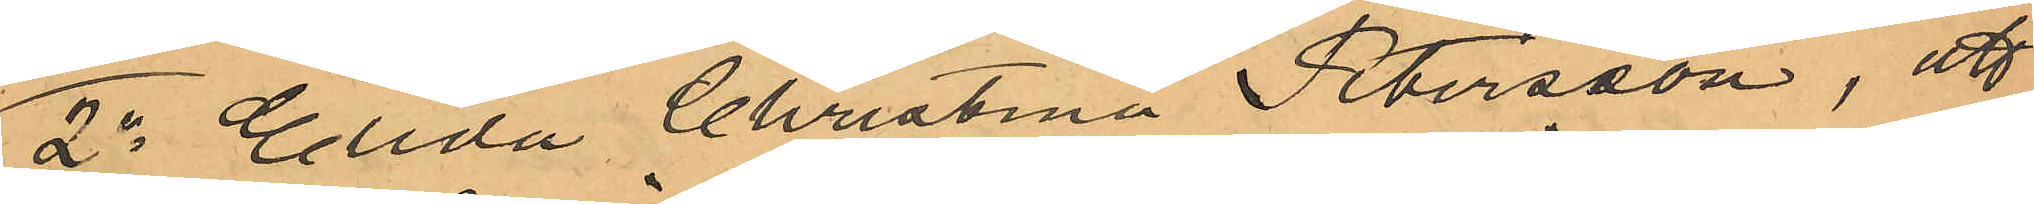2o Elida Christina Petersson, att
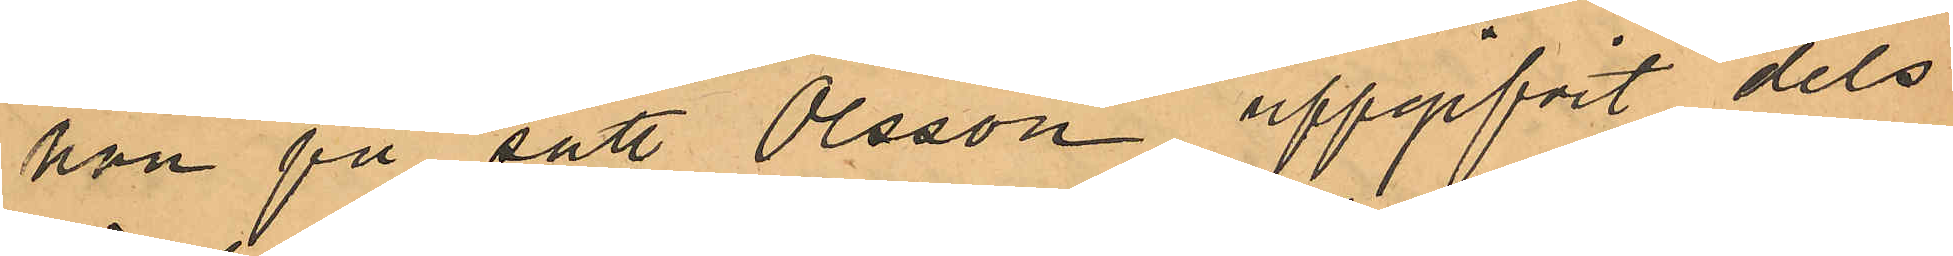hon på sätt Olsson uppgifvit dels
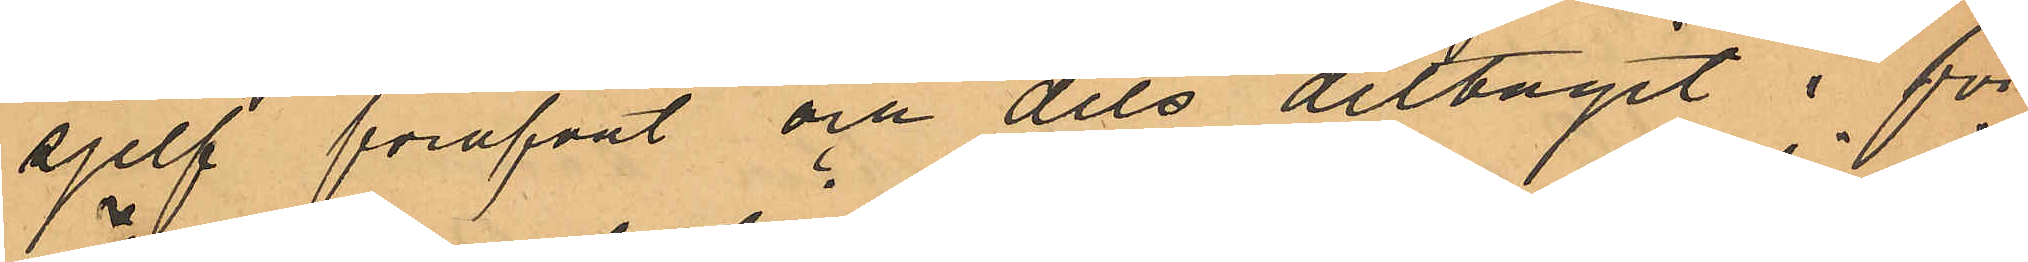sjelf föröfvat och dels deltagit i för¬
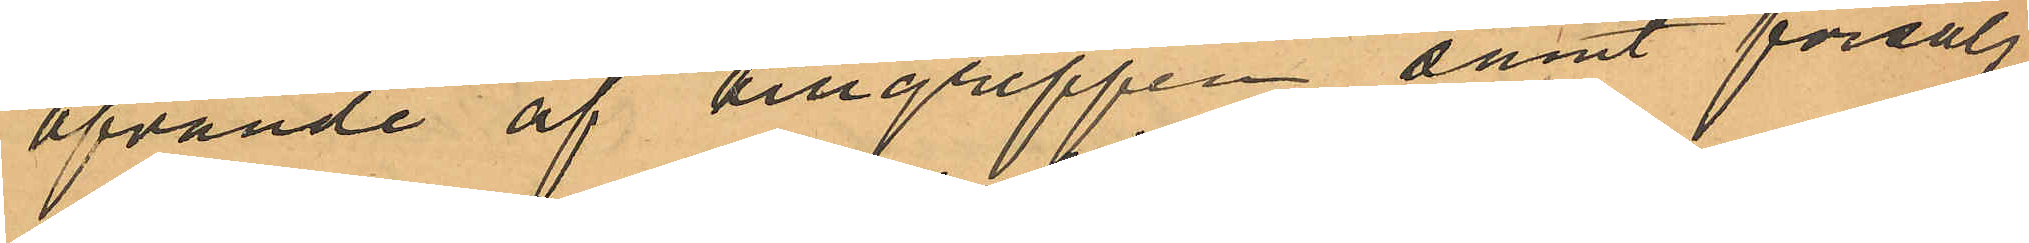öfvande af tillgreppen samt försålj¬
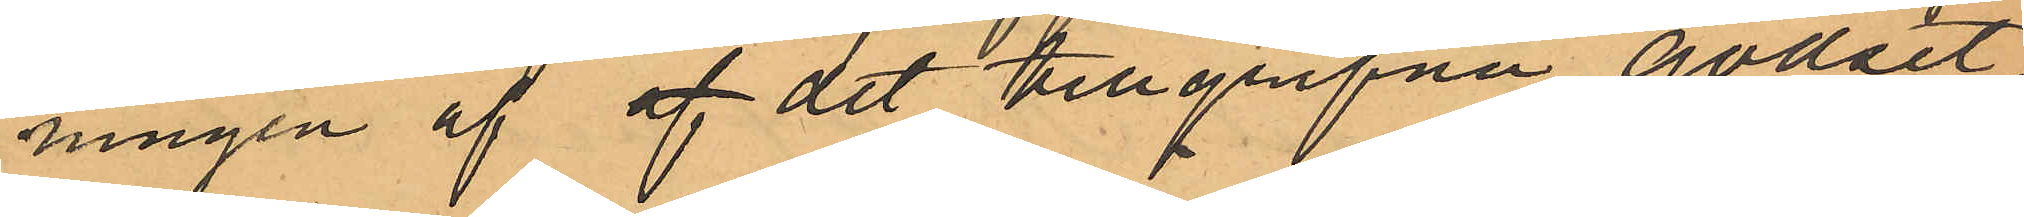ningen af af det tillgripne godset.
